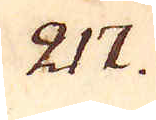217.
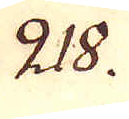218.
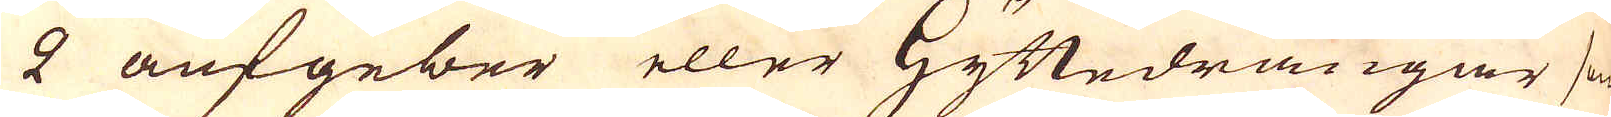2 aufgeber eller Hyttedrängar som
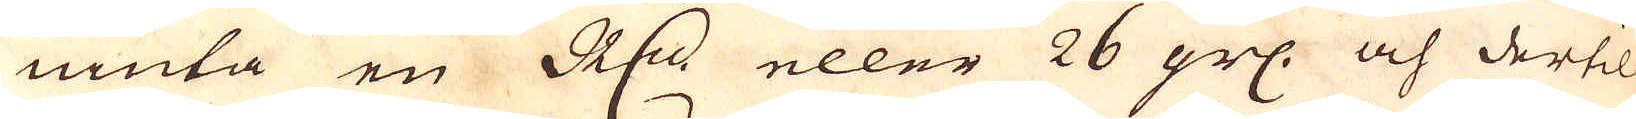niuta en R:r eller 26 grs: och dertil
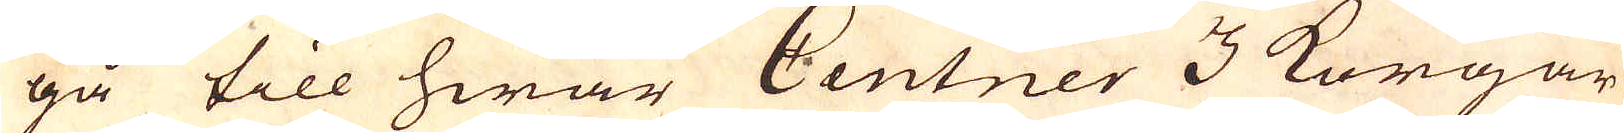gå till hwar Centner 3 Korgar
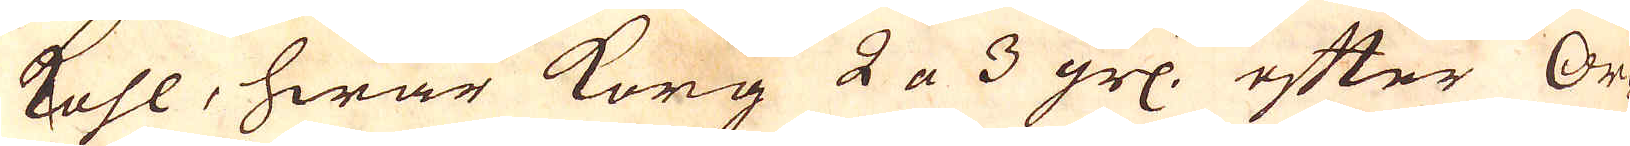kohl, hwar korg 2 a 3 grl: efter Or-
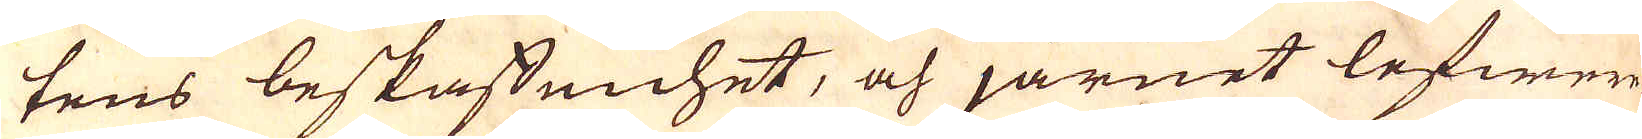tens beskaffenhet, och järnet lefwere-
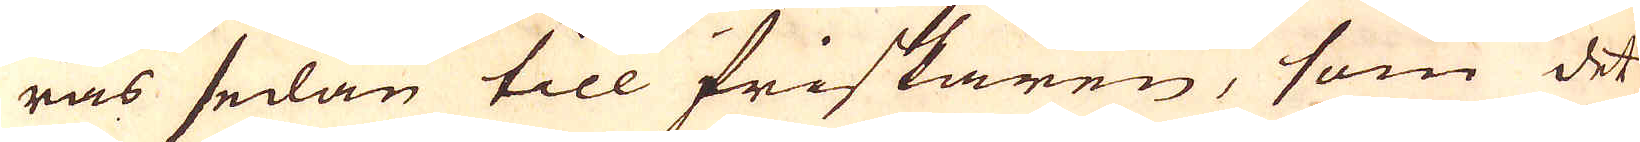ras sedan till friskaren, som det
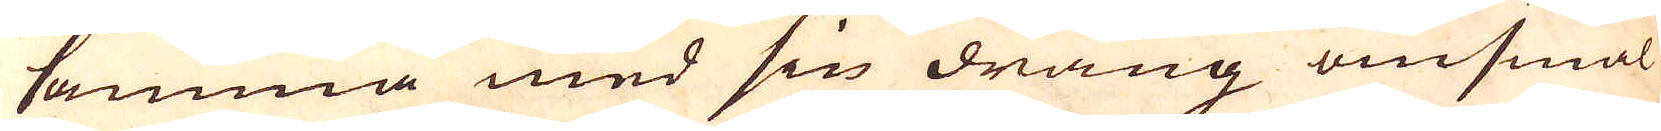samma med sin dräng omsmäl-
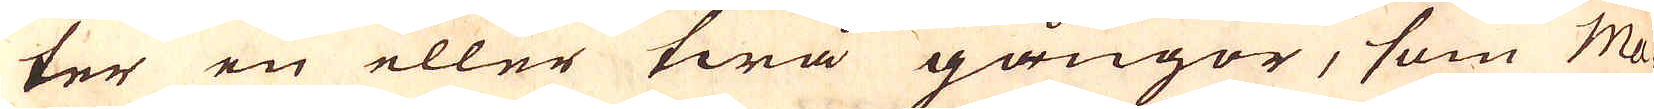ter en eller twå gångor, som Ma-
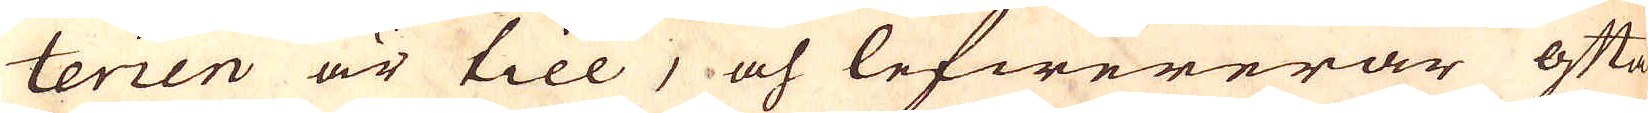terien är till, och lefwererar ofta
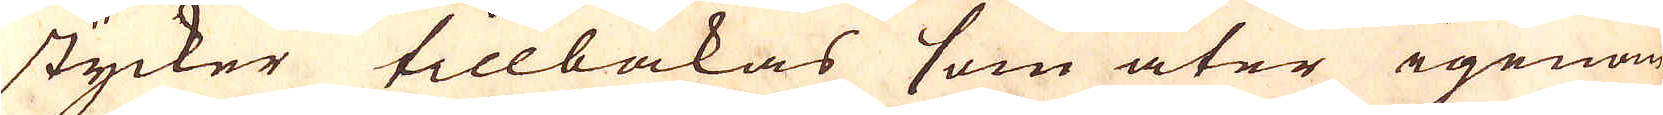stycker tillbakas som åter igenom
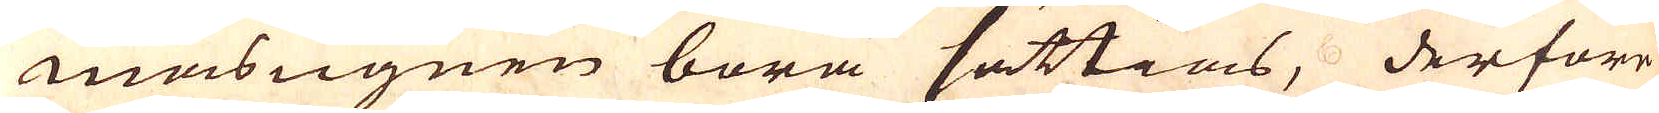maasugnen böra sättias, derföre
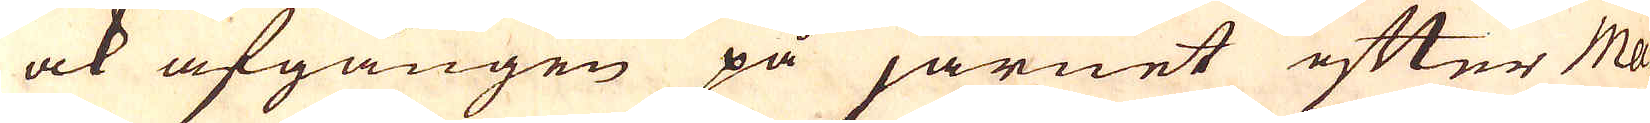ock afgången på järnet efter Ma-
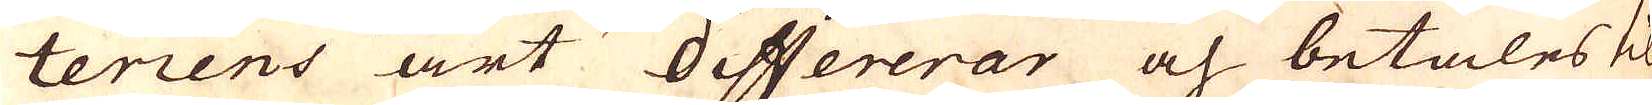teriens art differerar och betales til
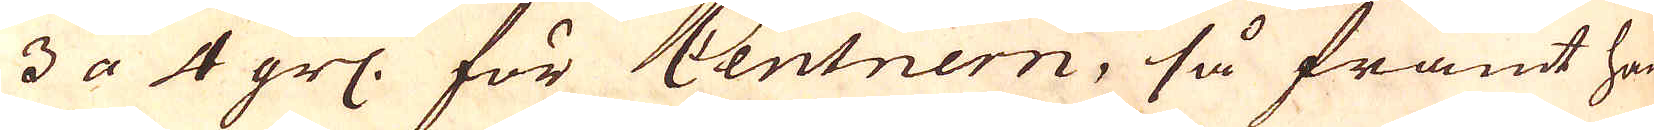3 a 4 grs: för Centnern, så framt han
